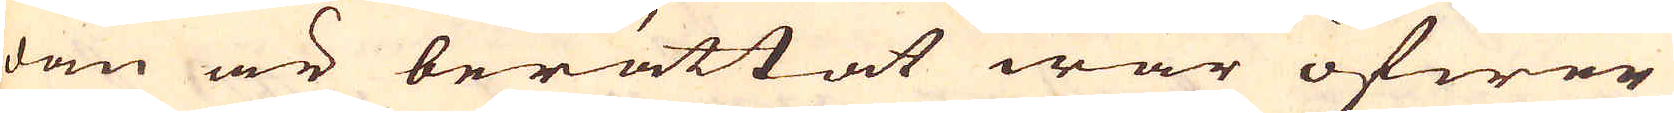dan är berättat war öfwer
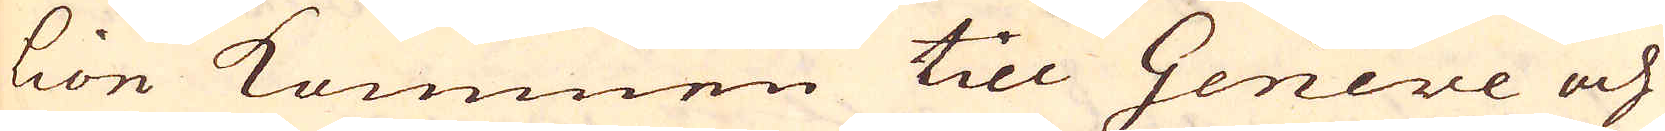Lion kommen till Geneve och
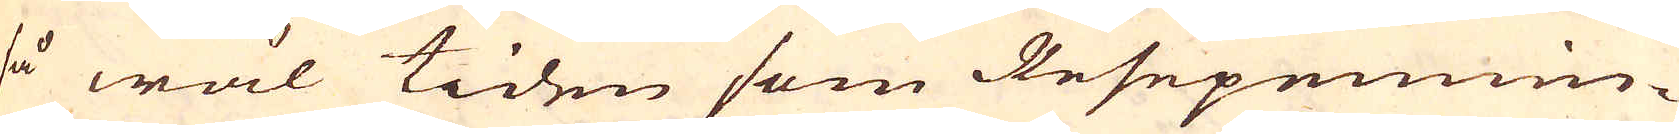så wäl tiden som Resepennin-
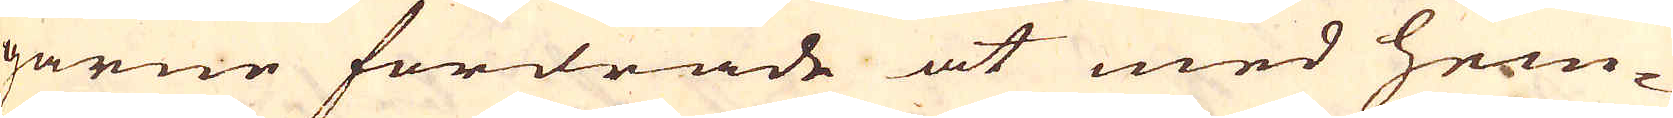garne fordrade at med hem-
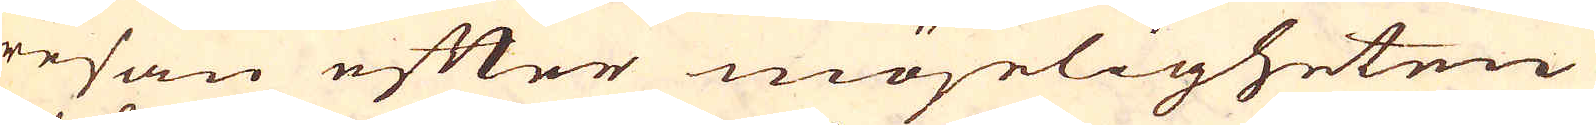resan efter möjeligheten
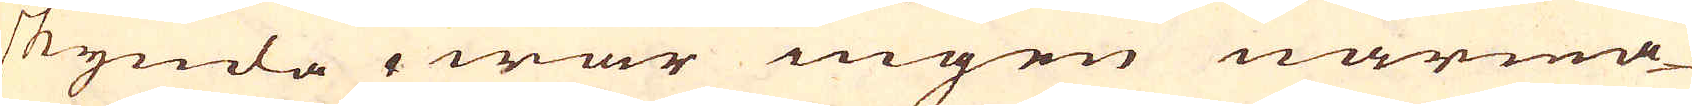skynda, war ingen närma-
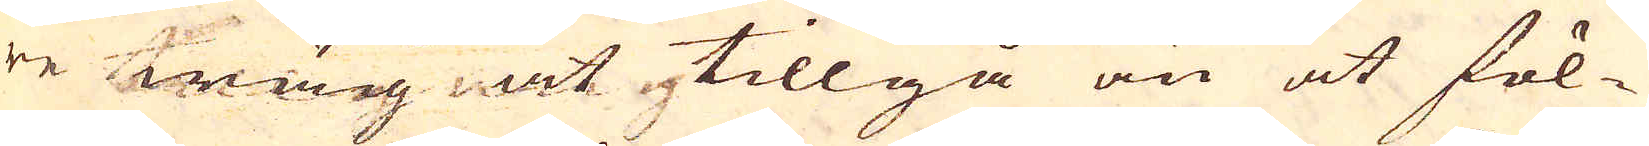re wäg at tillgå än at föl-
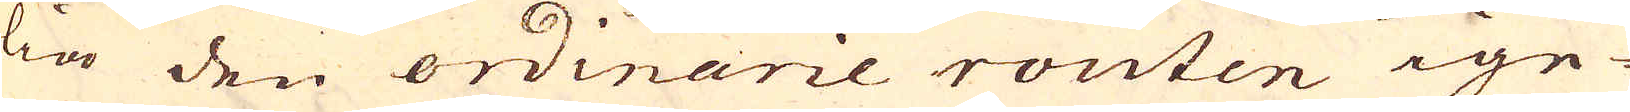lia den ordinarie routen ige-
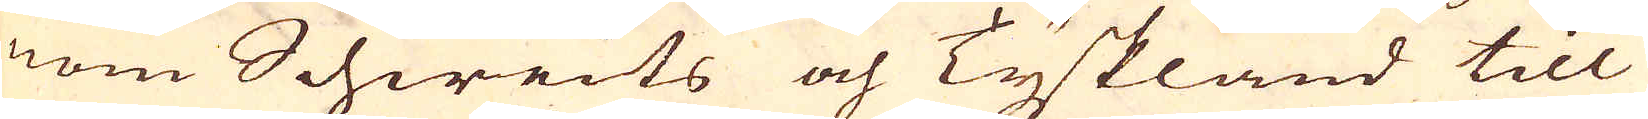nom Schweits och Tyskland till
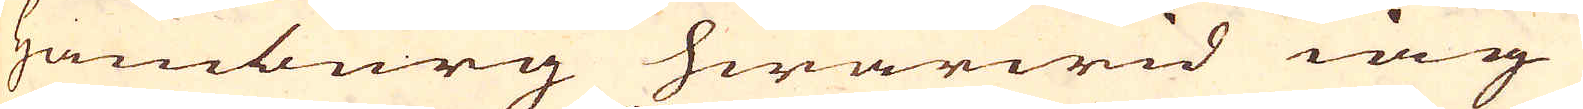Hamburg hwarwid iag
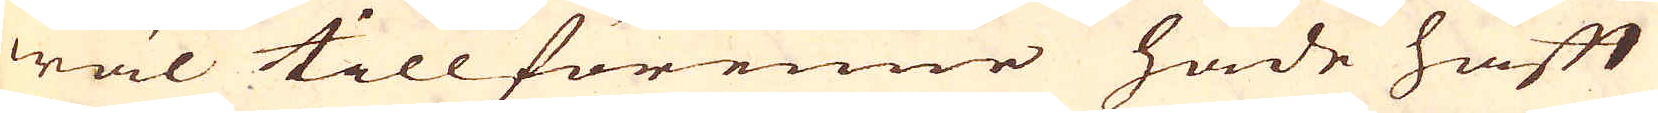wäl tillförenne hade haft
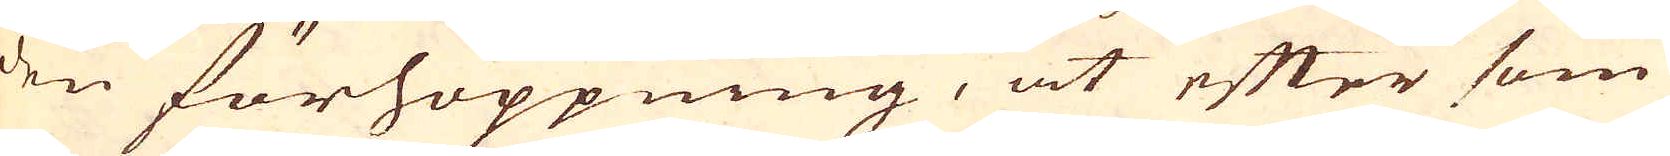den förhoppning, at efter som
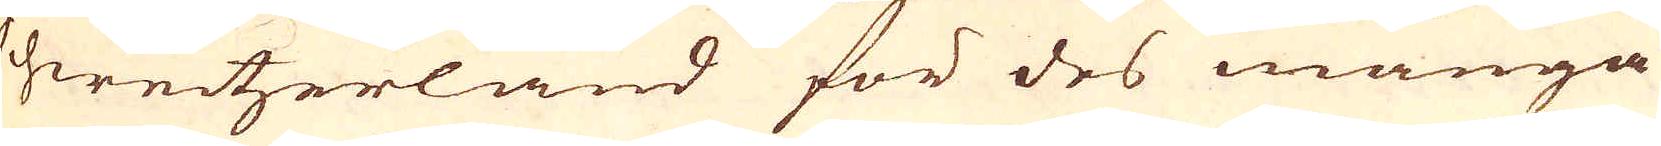Schweitzerland för des många
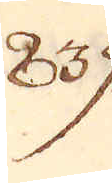839.
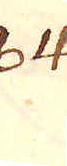840.
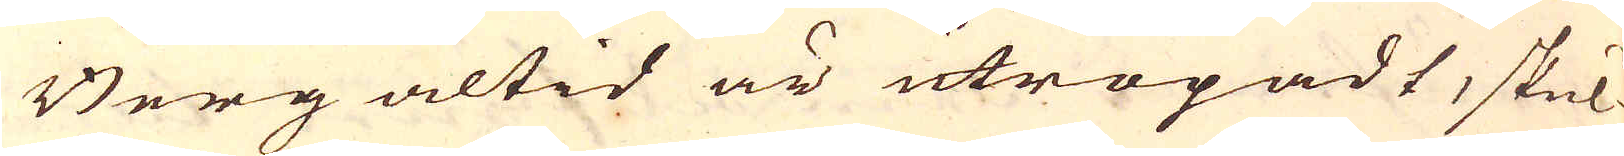Berg altid är utropadt, skul-
